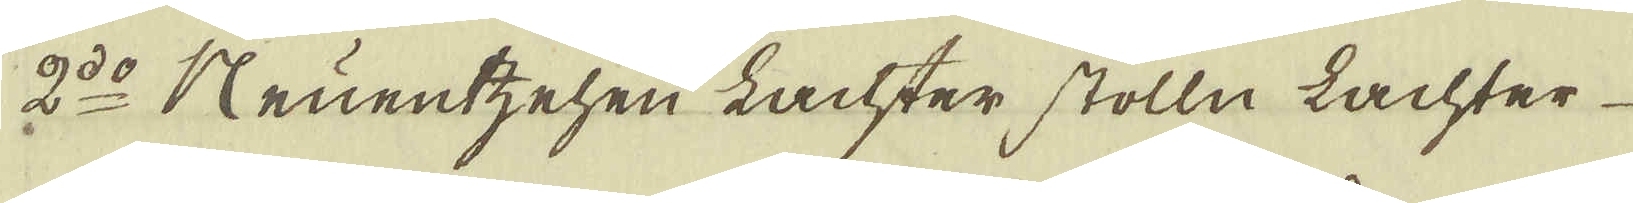2:do Neuentzehen Lachter stolln Lachter
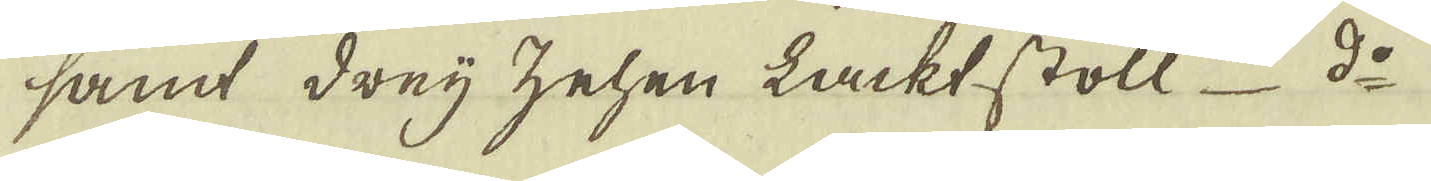samt drej zehen Lackt stoll d:o
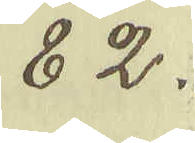82.
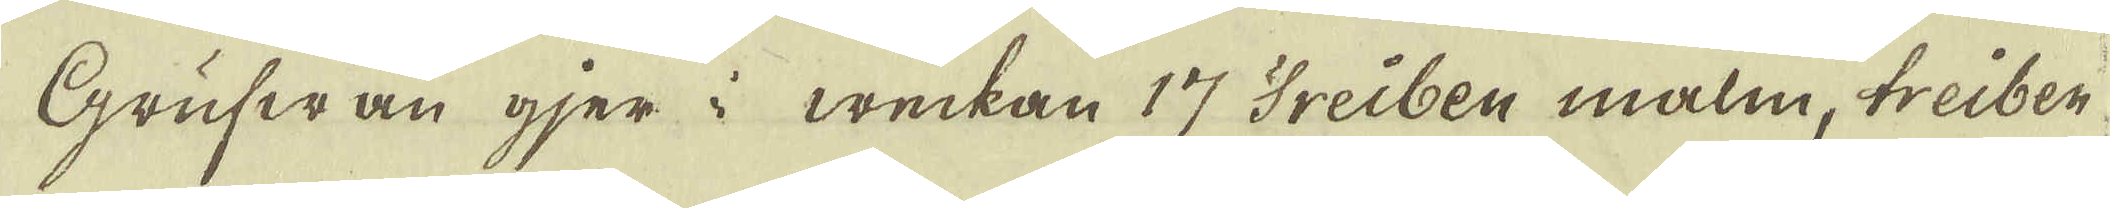Grufwan gjer i weckan 17 Treiben malm, treiber
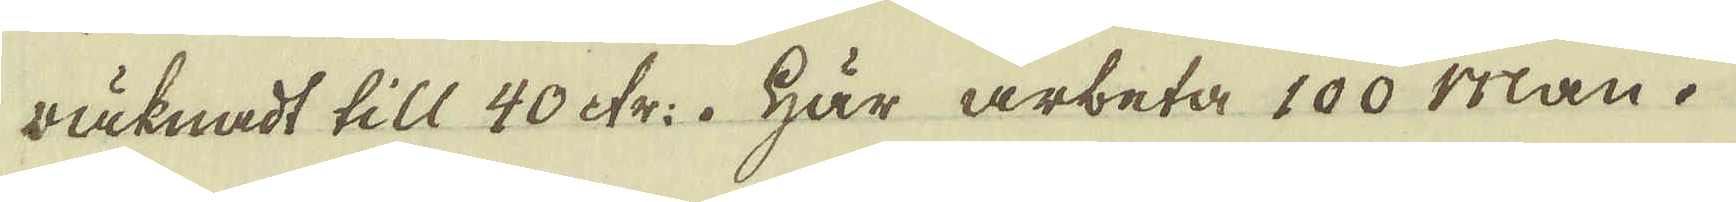räknadt till 40 tr:. Här arbeta 100 Man.
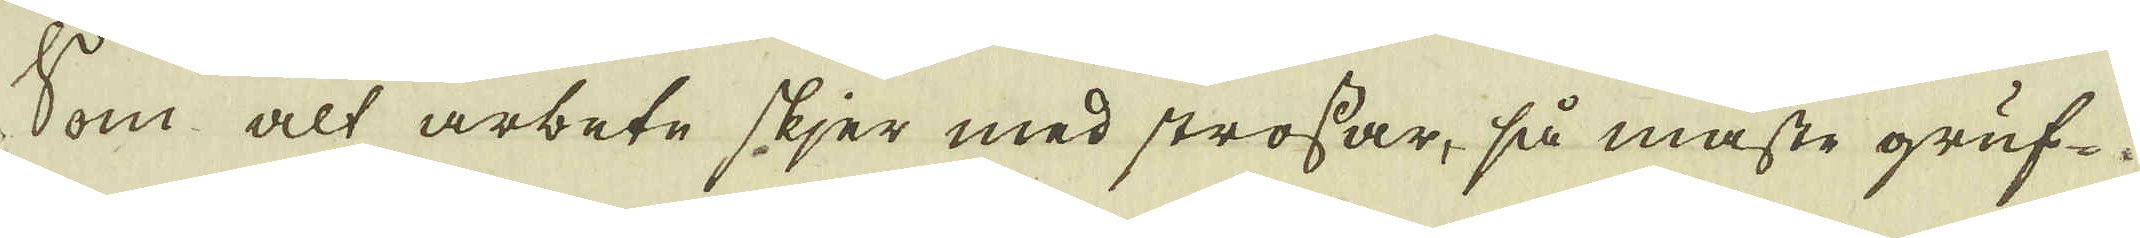Som alt arbete skjer med strossar, så måste gruf-
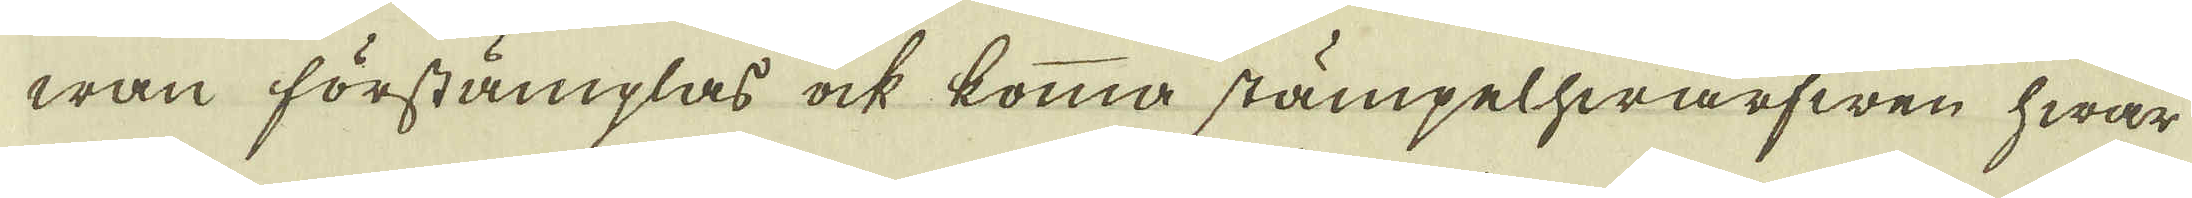wan förstämplas ock komma stämpelhwarfwen hwar
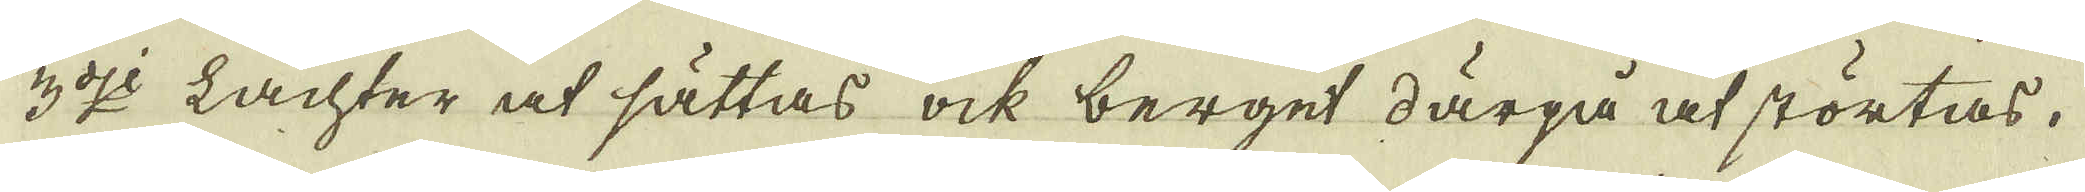3:dje Lachter at sättas ock berget därpå at störtas.
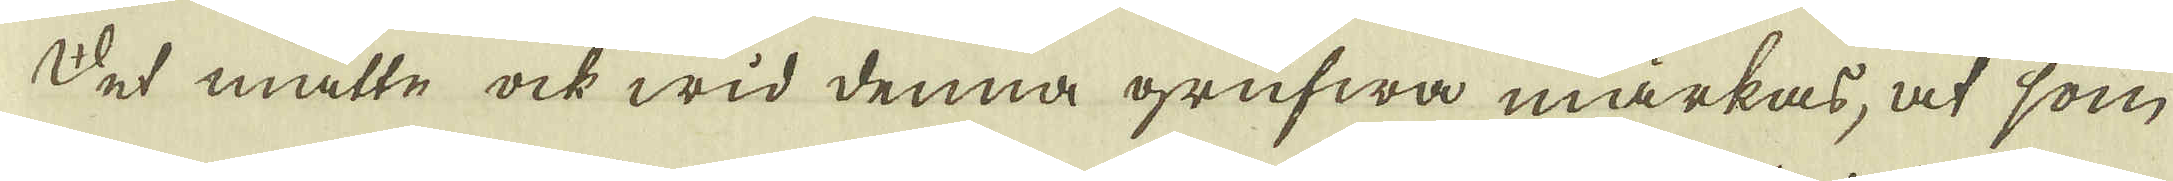Det måtte ock wid denna grufwa märkas, at som
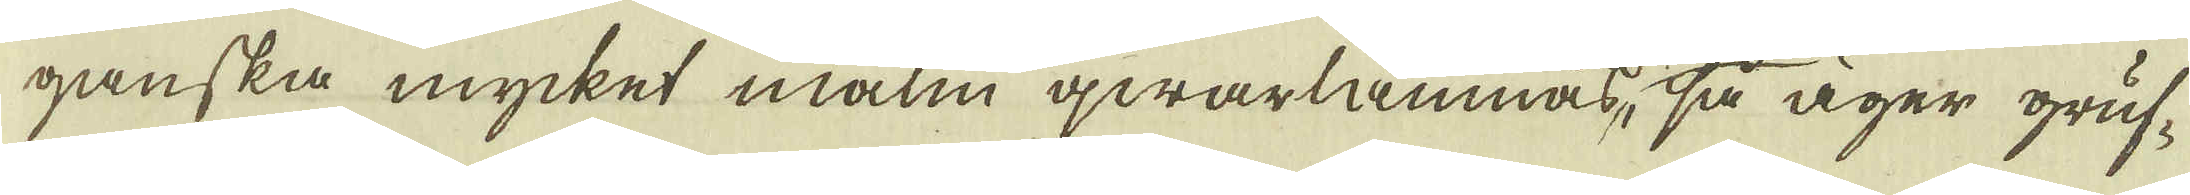ganska mycket malm qwarlämnas, så äger gruf-
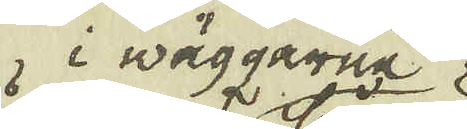i väggarne
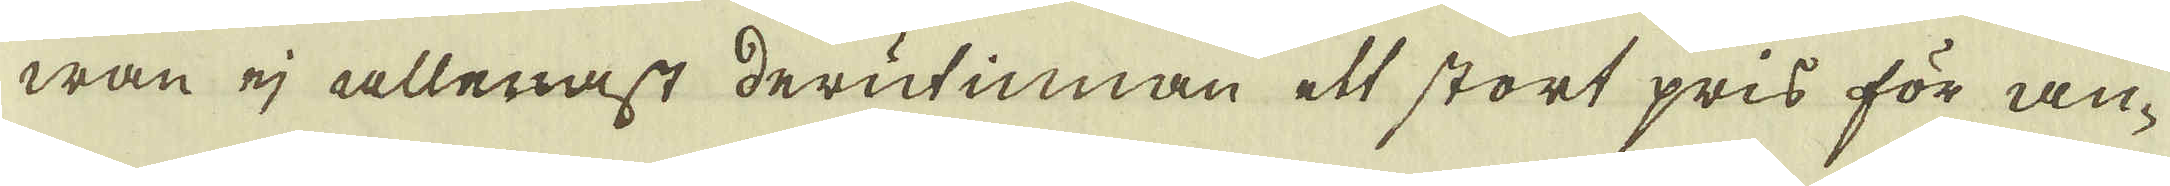wan ej allenast derutinnan ett stort pris för an-
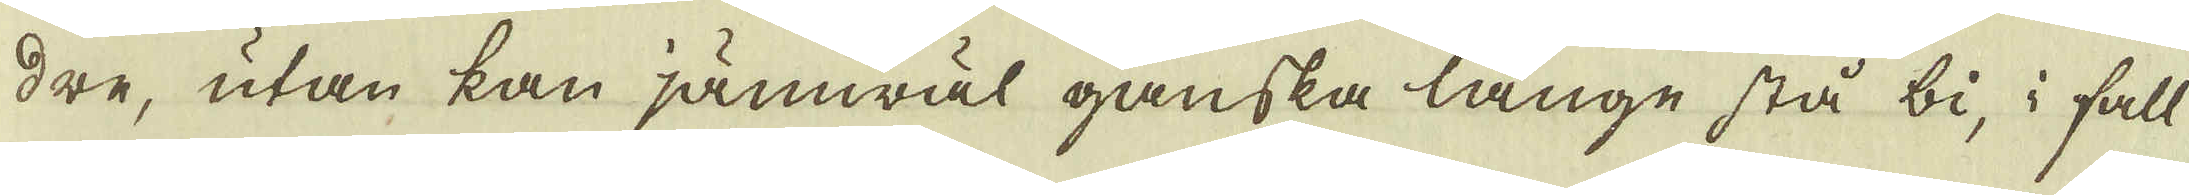dre, utan kan jämwäl ganska länge stå bi, i fall
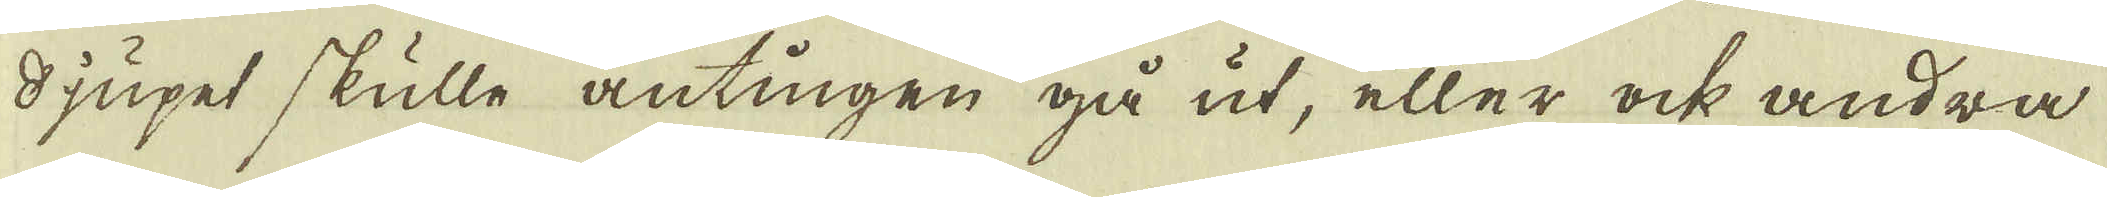djupet skulle antingen gå ut, eller ock andra
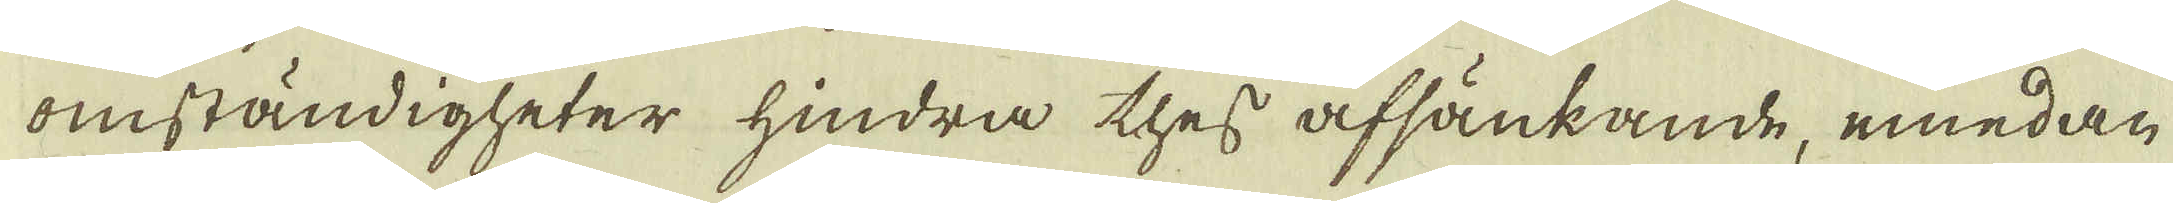omständigheter hindra thes afsänkande, emedan
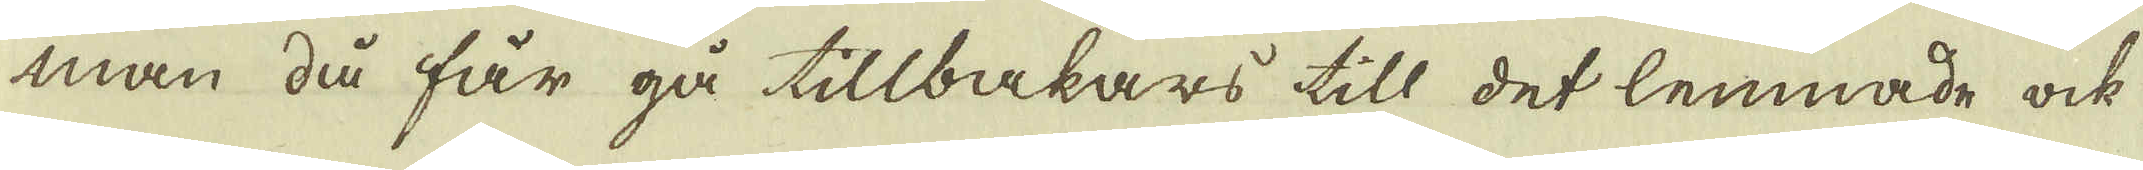man då får gå tillbakars till det lemnade ock
